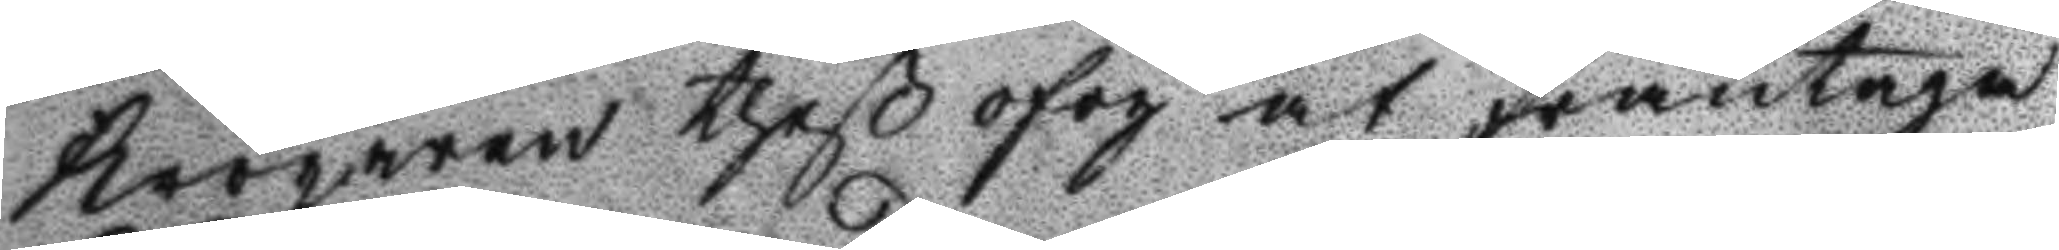Krögaren theß ofog at fråntaga
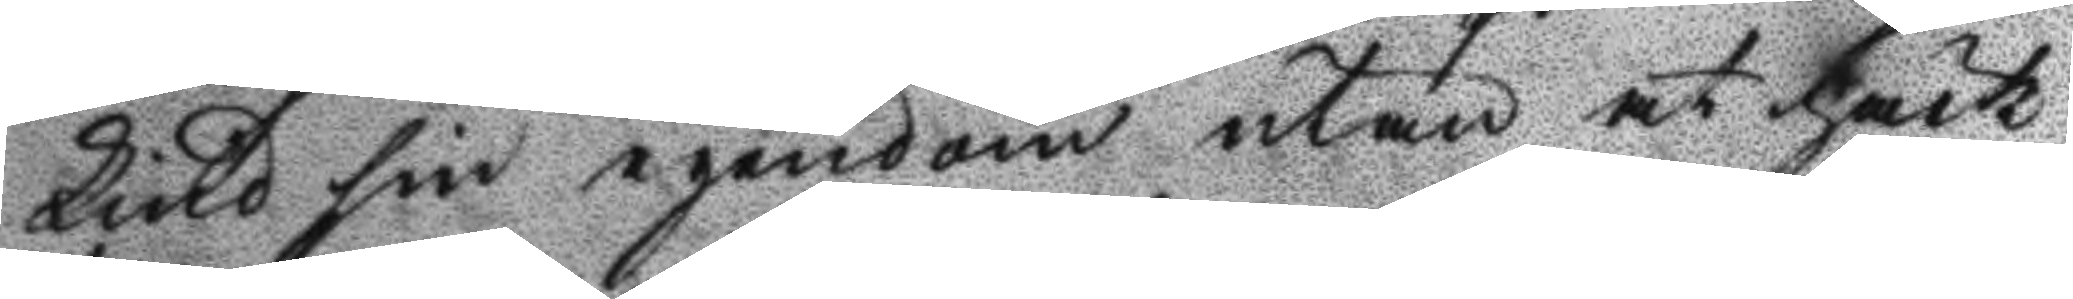Lind sin egendom utan at häck¬
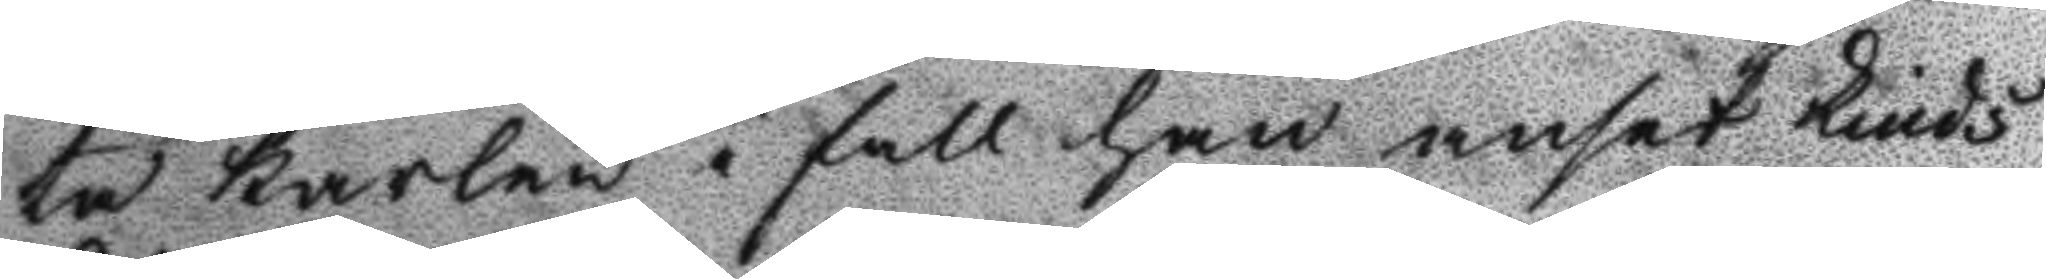ta karlen i fall han anset Linds
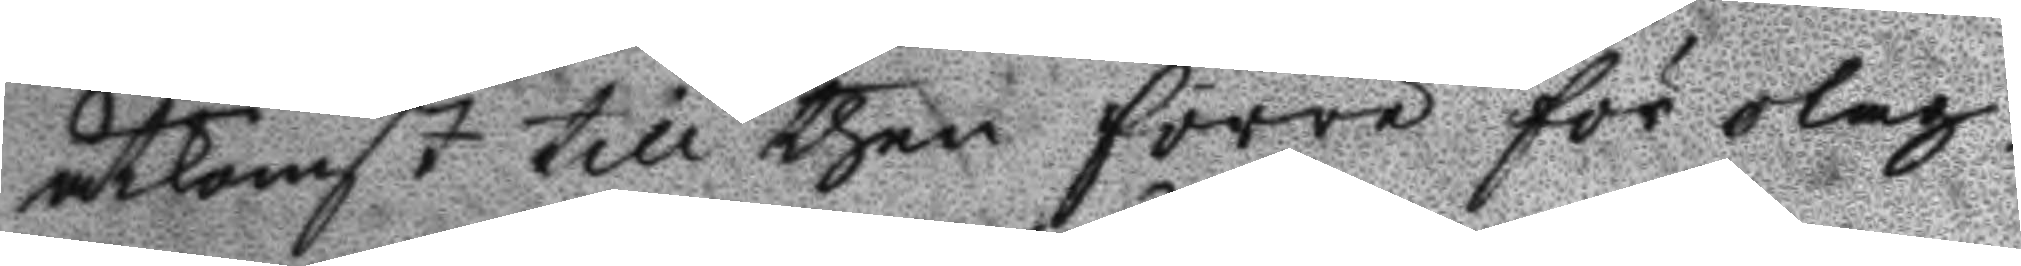åtkomst till then förre för olag¬
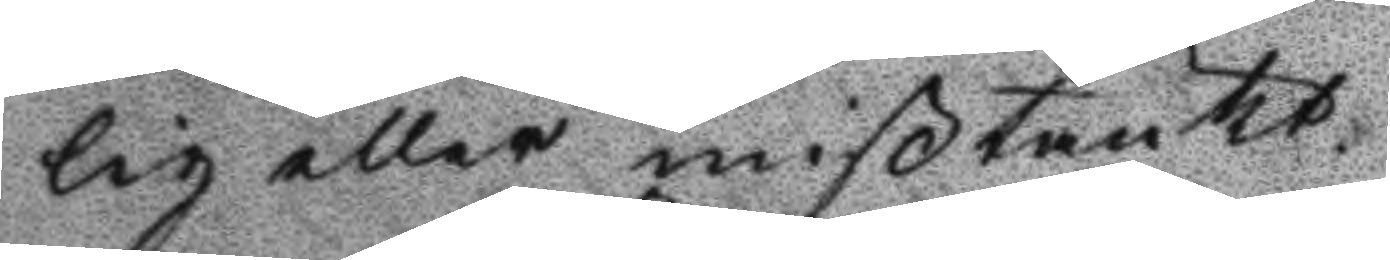lig eller mißtänkt.
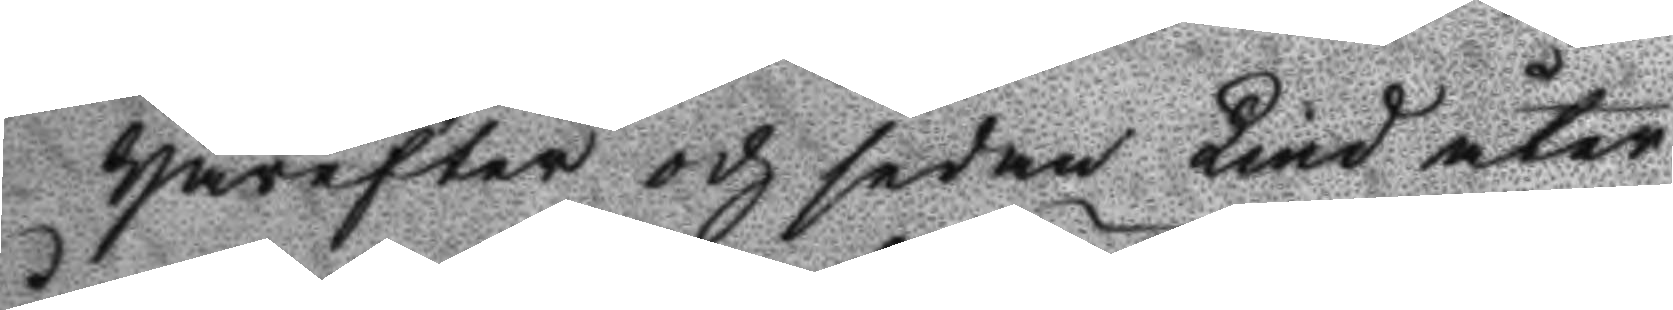Härefter och sedan Lind åter
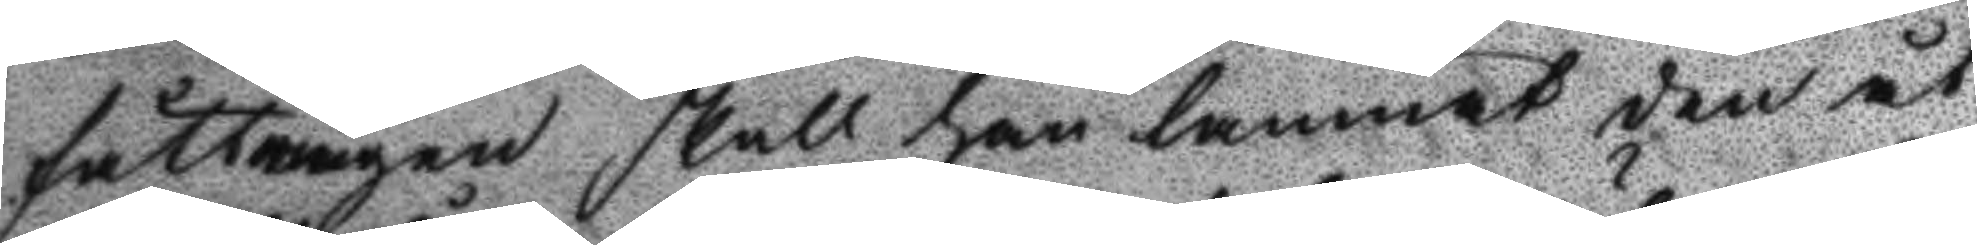fått ringen skall han lemnat den åt
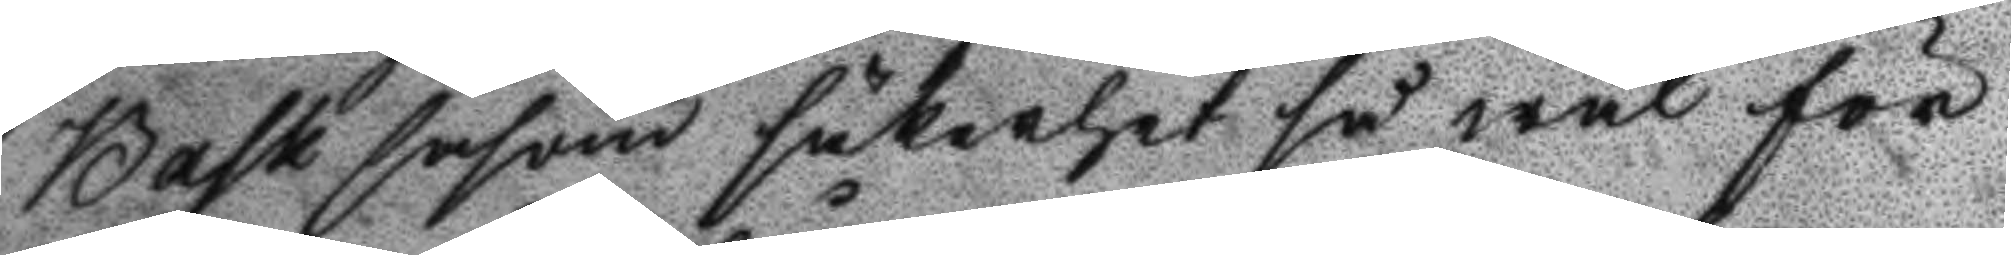Bask såsom säkerhet så wäl för
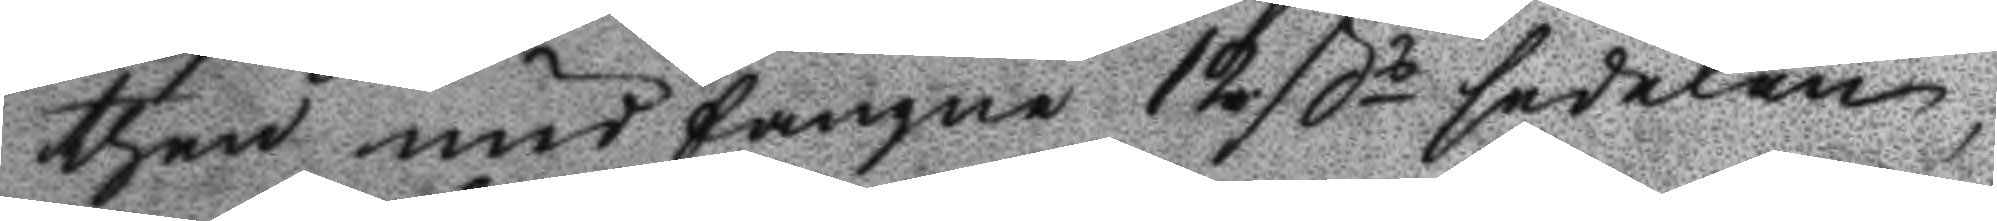then undfångne 12 ßs sedelen
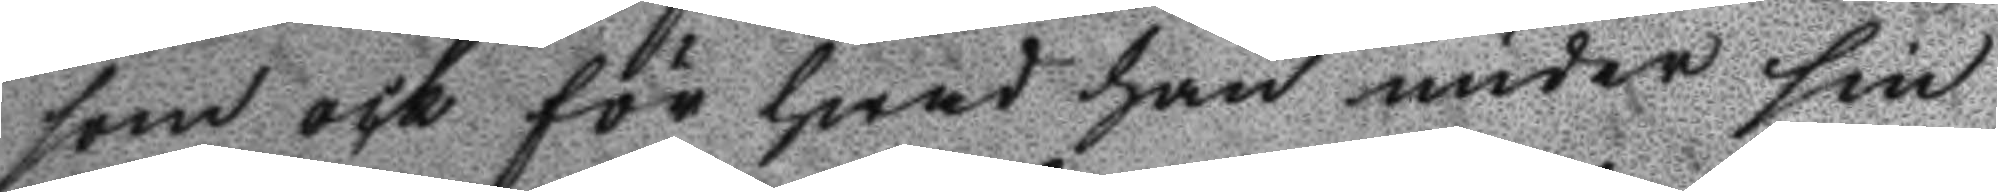som ock för hwad han under sin
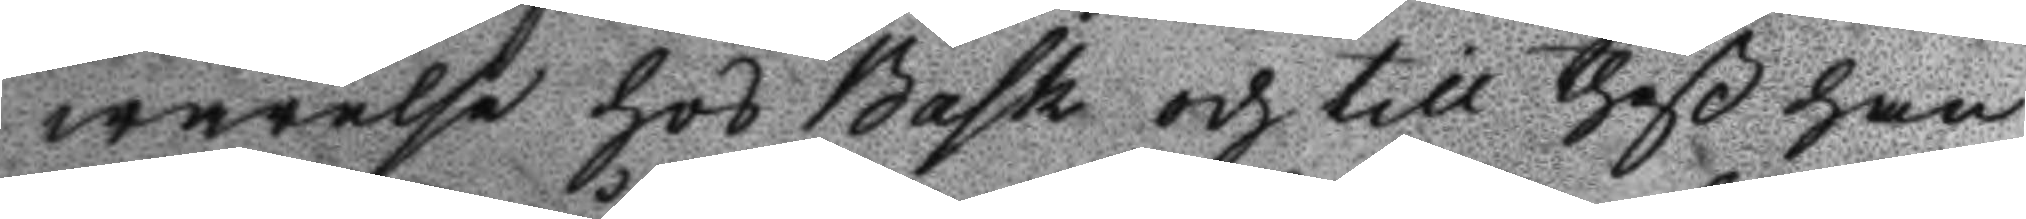warelse hos Bask och till theß han
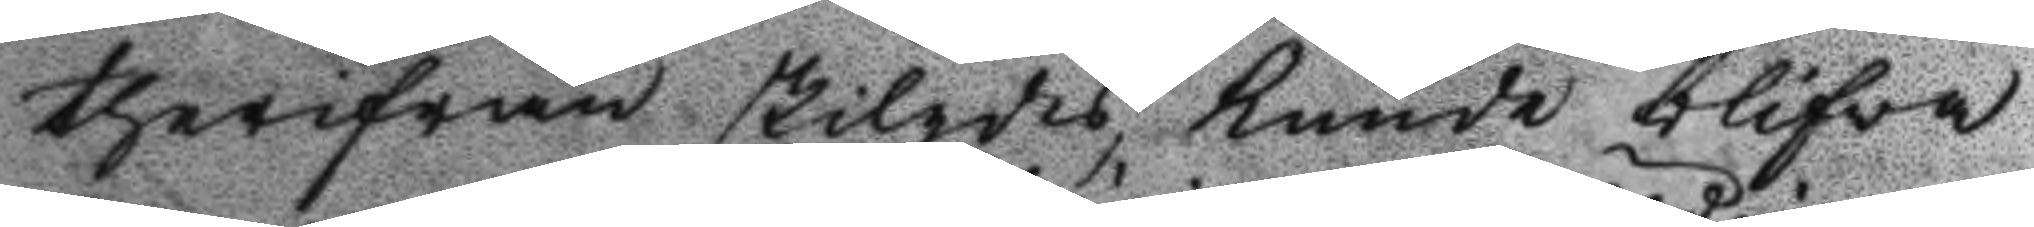therifrån skigdes, kunde blifva
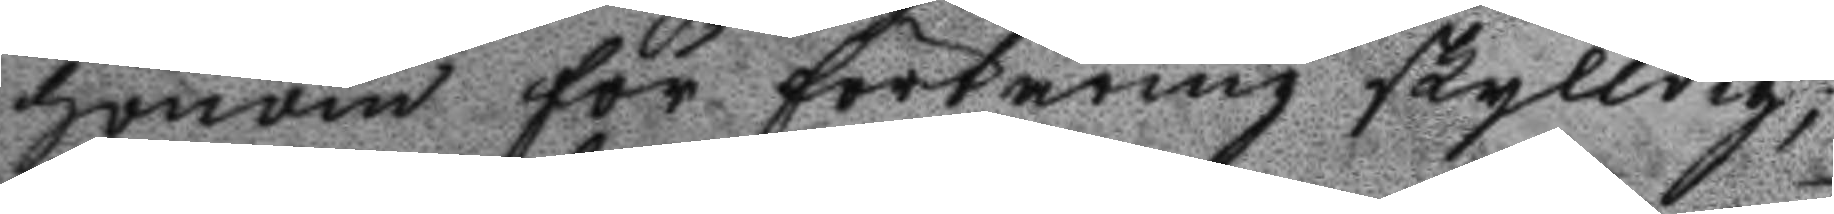honom för förtäring skylldig;
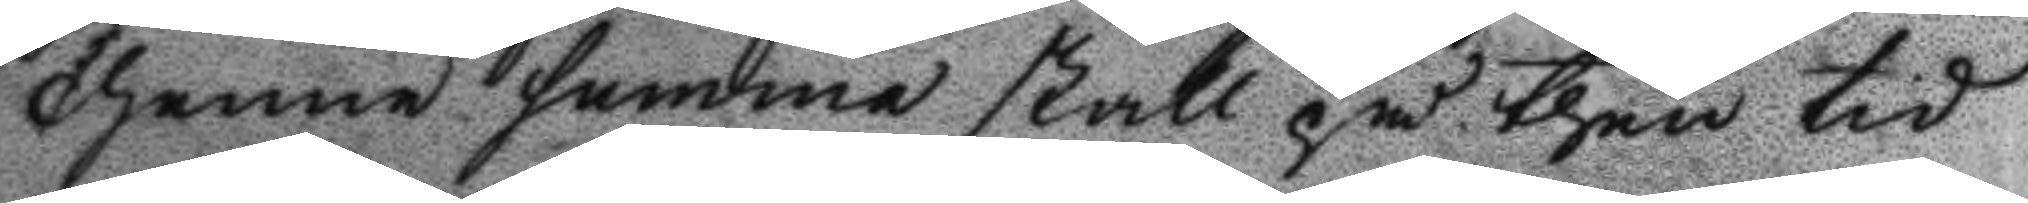thenna summa skall på then tid
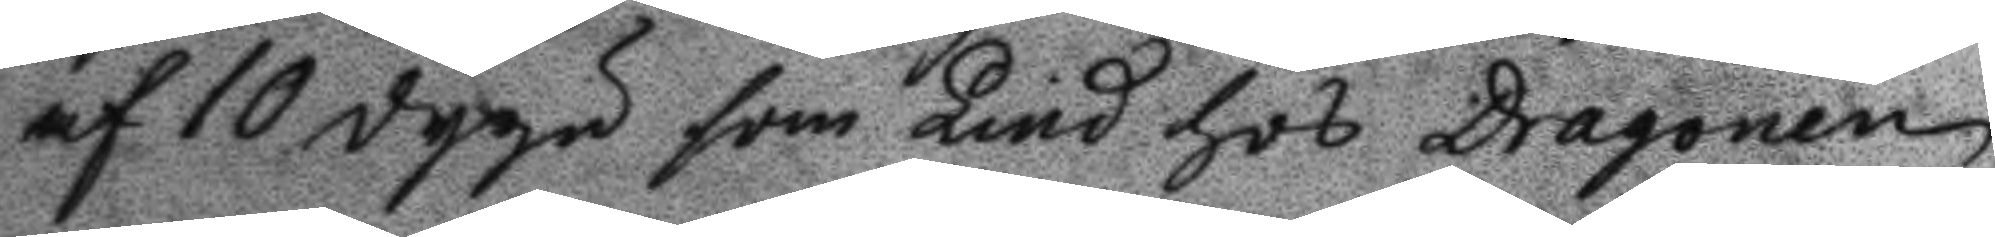af 10 dygn som Lind hos Dragonen
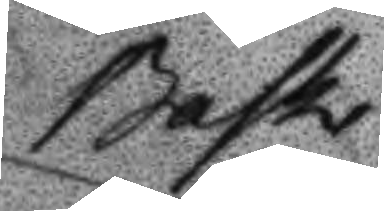Bask
